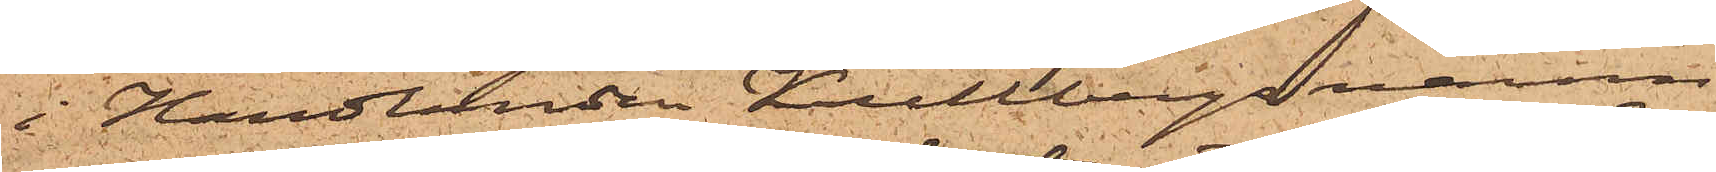i Handlanden Kullbergs namn
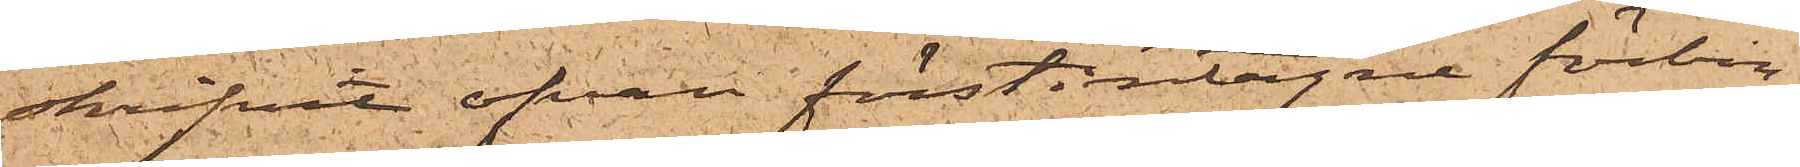skrifvit ofvan förstintagne förbin¬
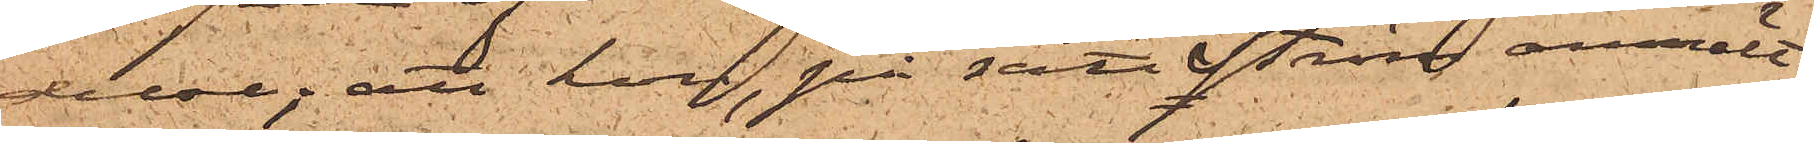delse; att hon, på sätt Ström anmält
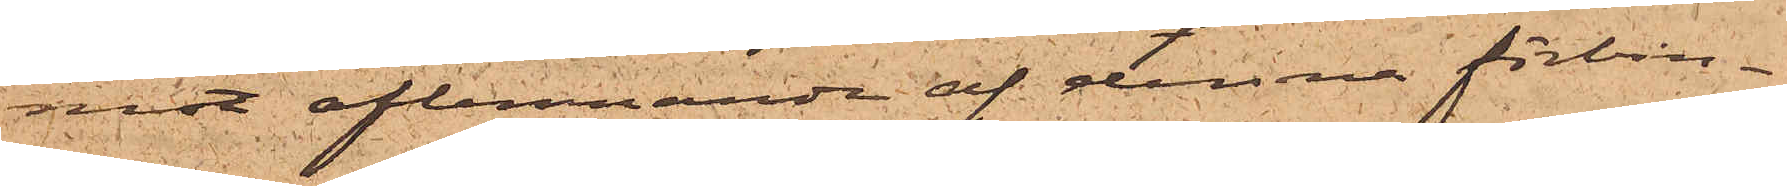mot aflemnande af denna förbin¬
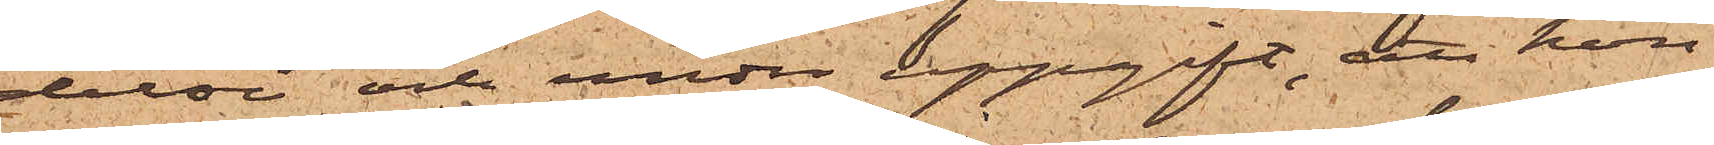delse och under uppgift, att hon
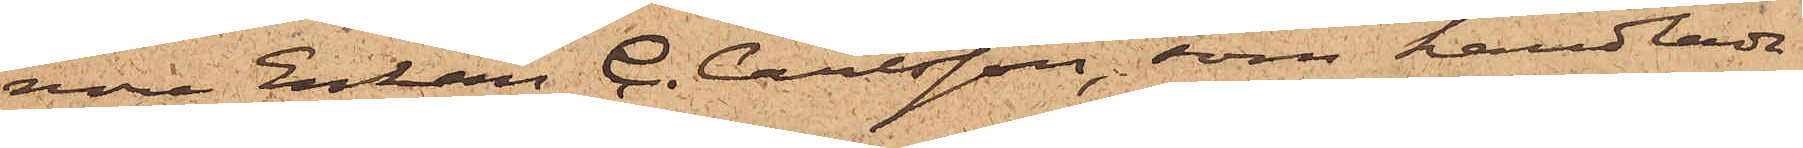vore Enkan C. Carlsson, som handlade
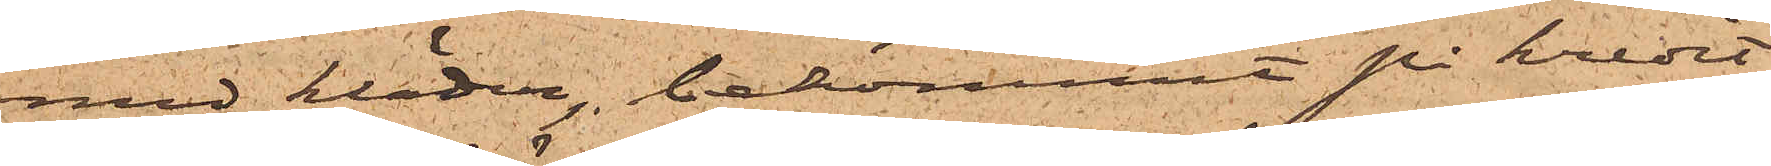med kläder, bekommit på kredit
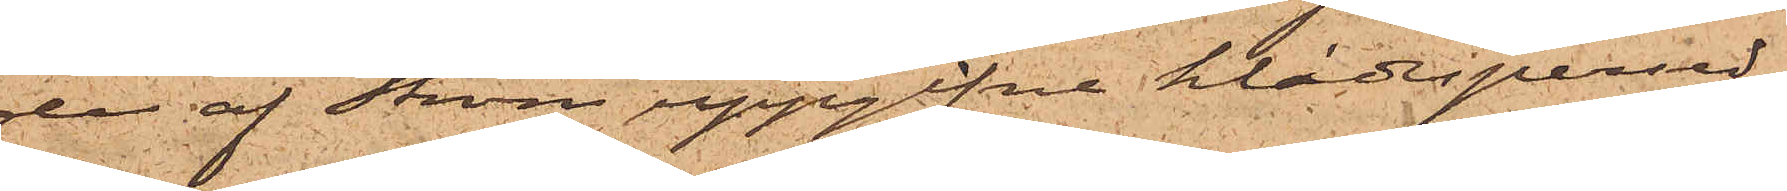de af Ström uppgifne klädespersed¬
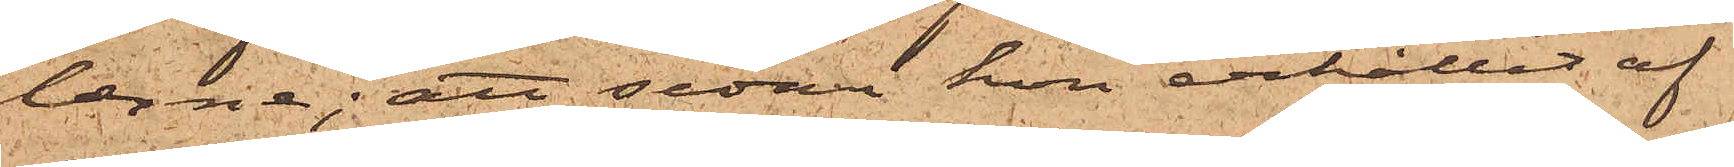larne; att sedan hon erhållit af
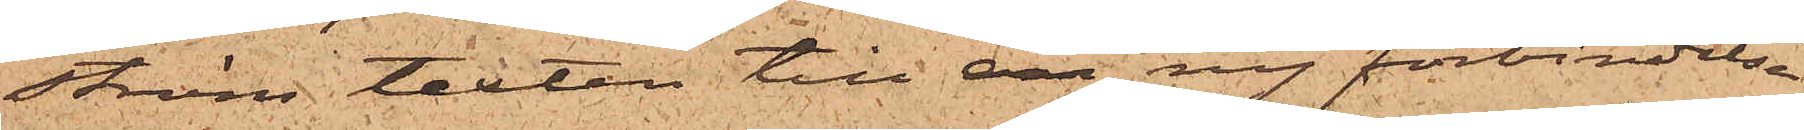Ström texten till en ny förbindelse
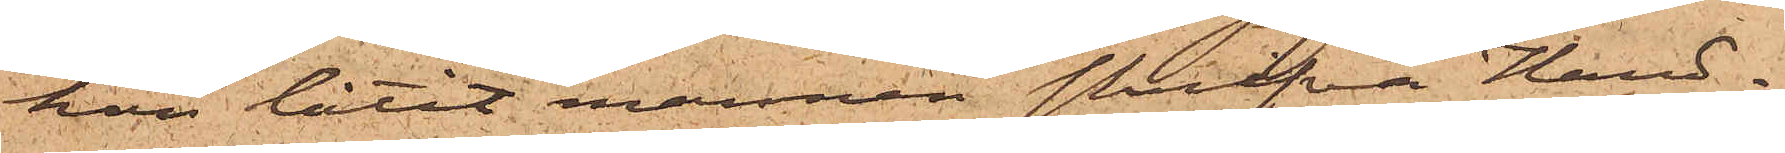hon låtit mannen skrifva Hand¬
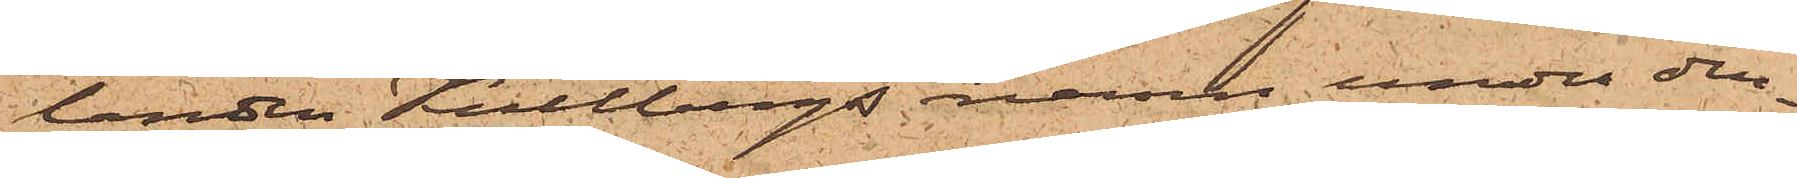landen Kullbergs namn under den¬
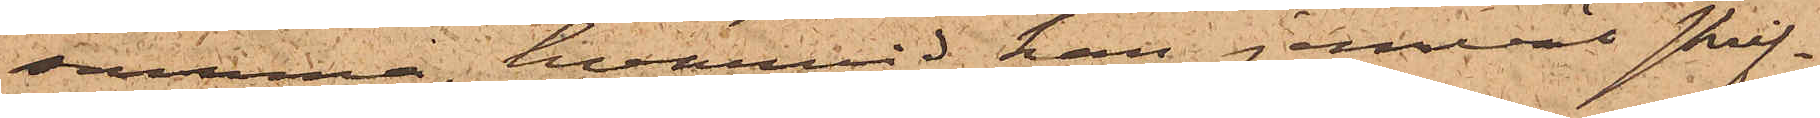samma, hvarvid han jemväl skrif¬
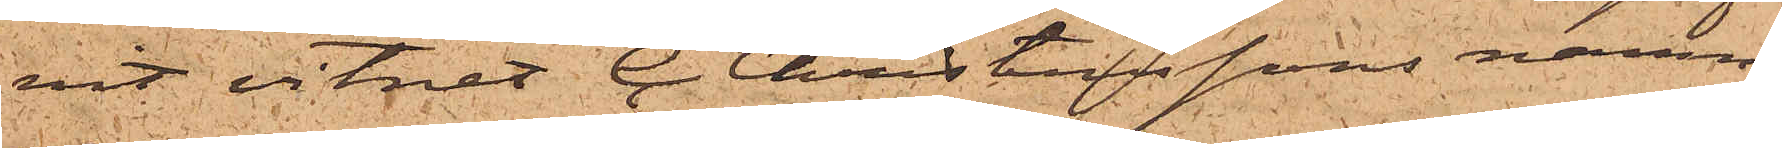vit vitnet C. Christenssons namn,
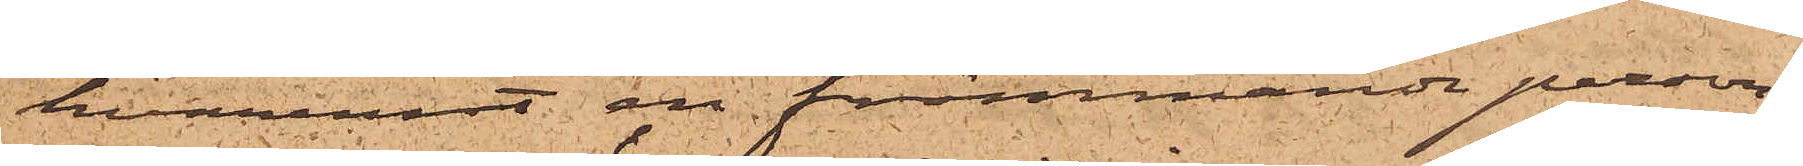hvaremot en främmande person,
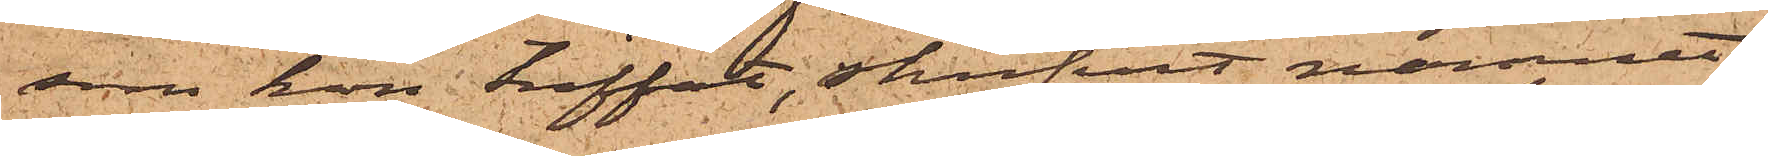som hon träffat, skrifvit namnet
